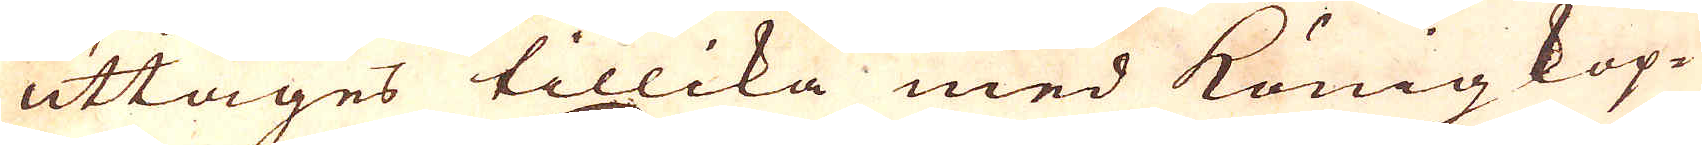uttages tillika med König kop-
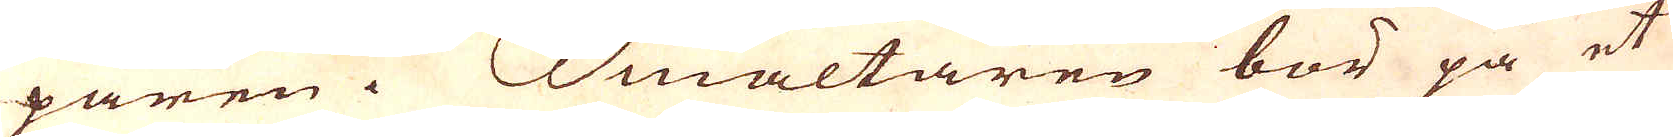paren.Smältaren bör på et
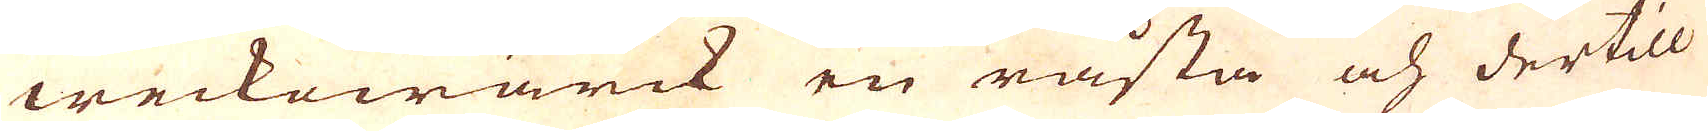weckowärck en råsta och dertill
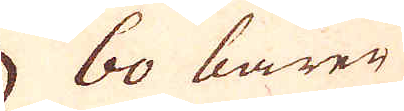60 barer
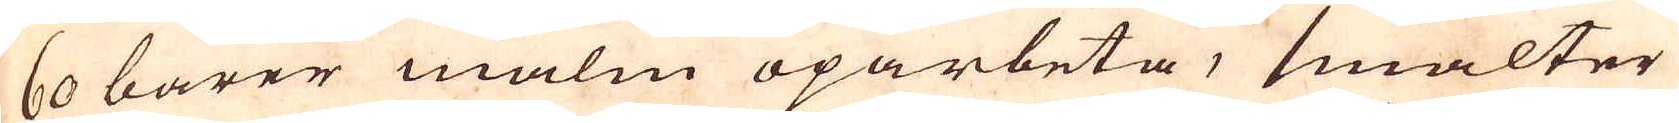60 barer malm oparbeta, smälter
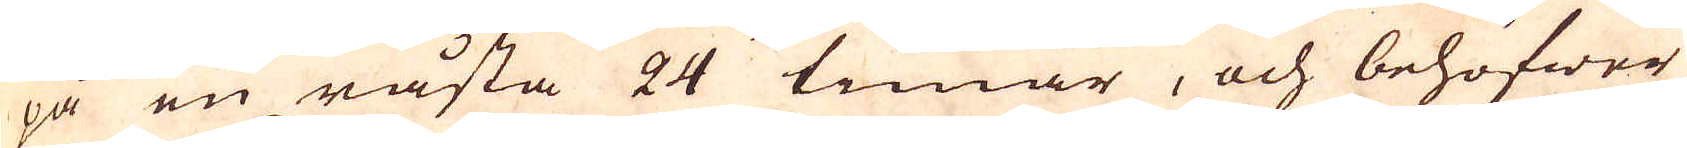på en råsta 24 timar, och behöfwer
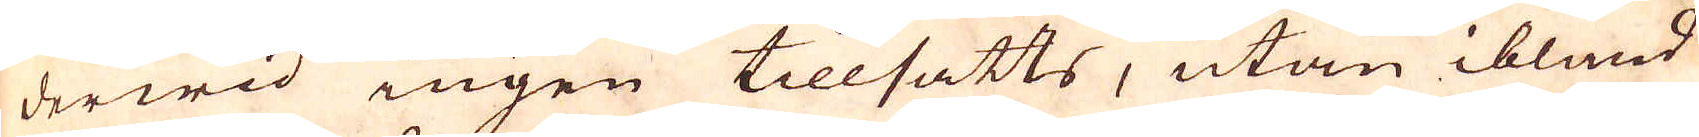derwid ingen tillsatts, utan ibland
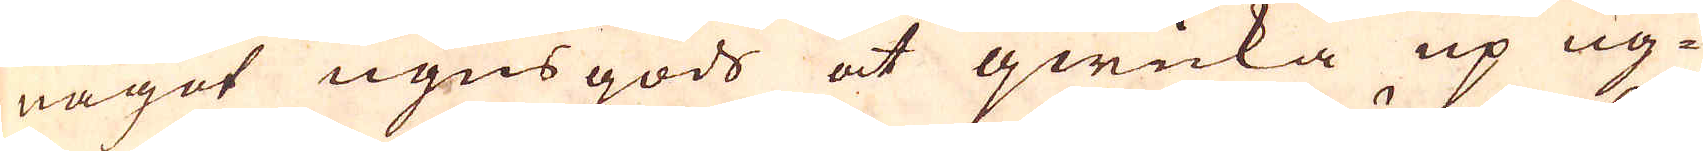något ugns gods at qwicka up ug-
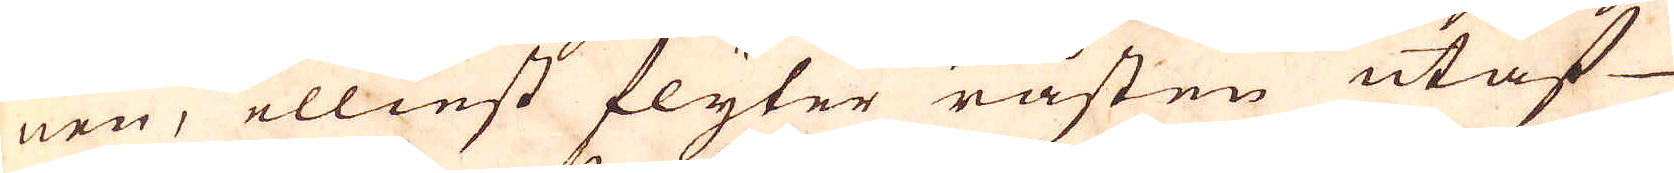nen, elliest flyter råsten utaf
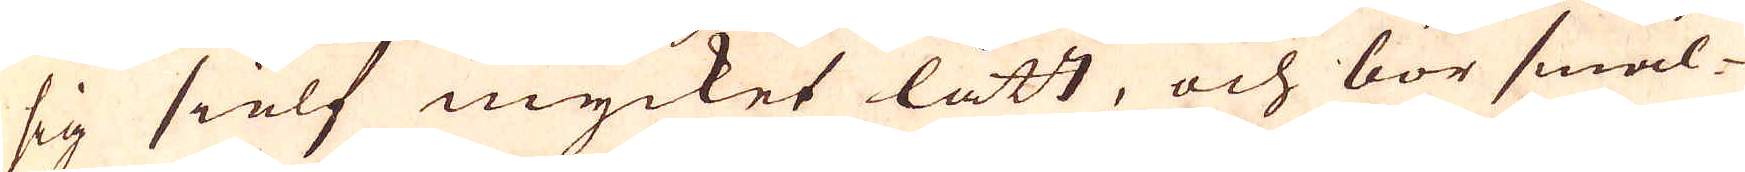sig sielf mycket lätt, och bör smäl-
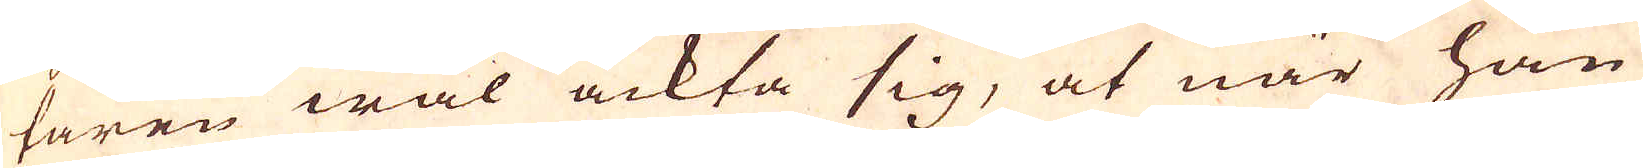taren wäl ackta sig, at när han
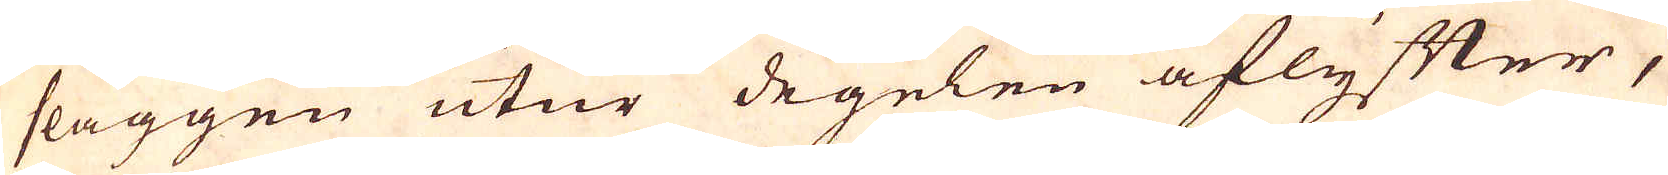slaggen utur degelen aflyffter,
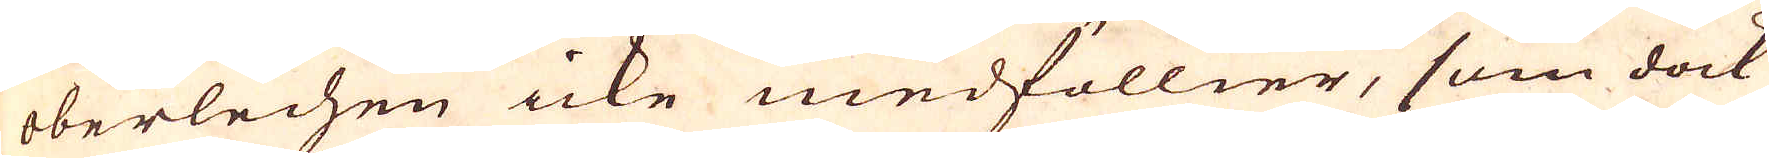oberlechen icke medföllier, som dock
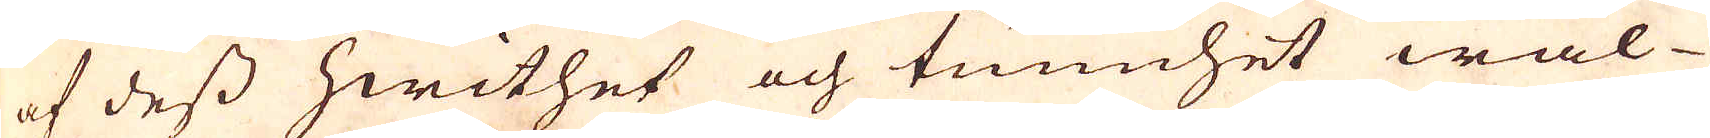af dess hwithet och tunnhet wäl
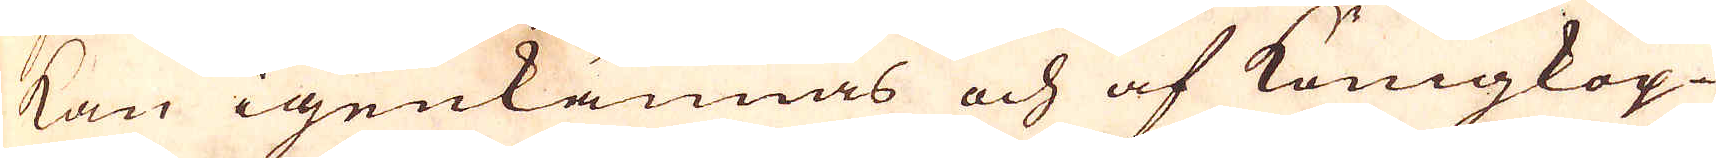kan igenkännas och af Königkop-
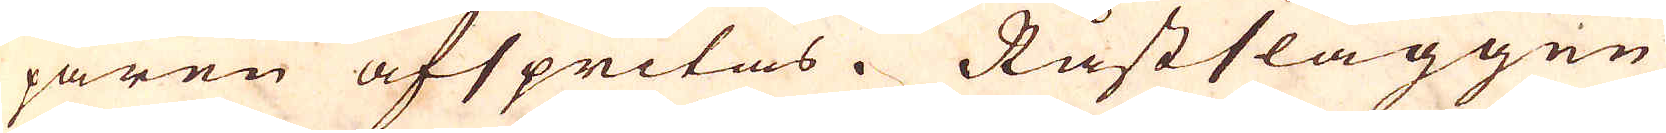paren afspritas. Råstslaggen
